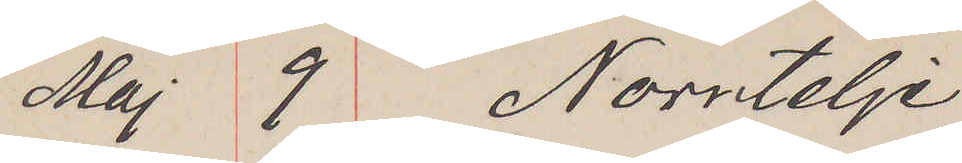Maj 9 Norrtelje
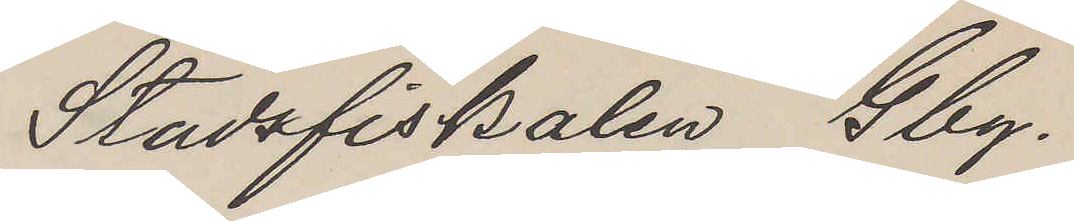Stadsfiskalen Gbg.
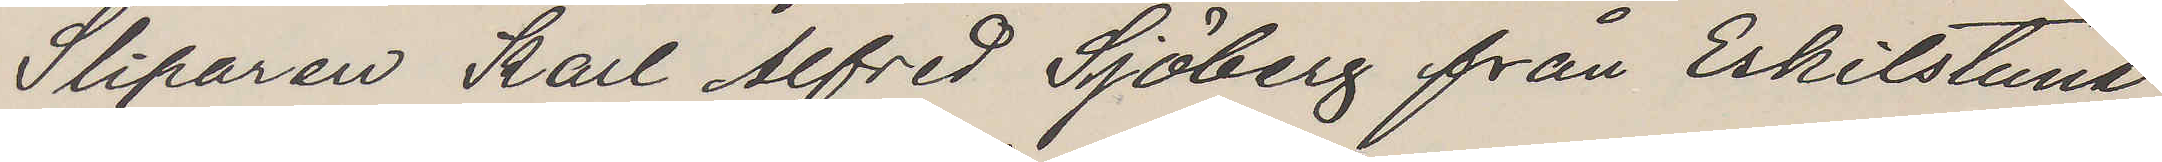Sliparen Karl Alfred Sjöberg från Eskilstuna
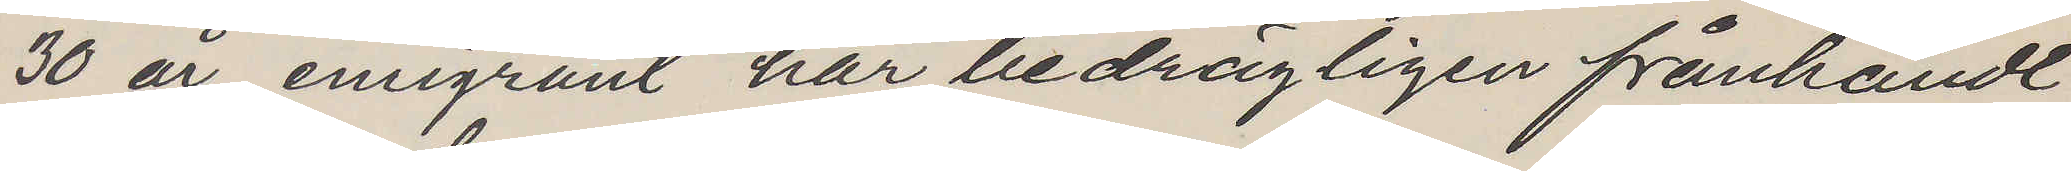30 år emigrant har bedrägligen frånhändt
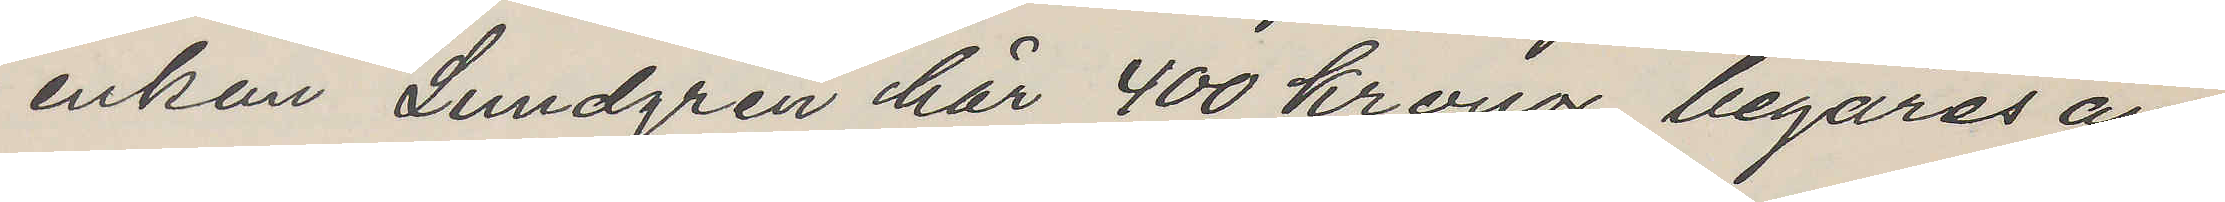enkan Lundgren här 400 kronor, begäras an¬
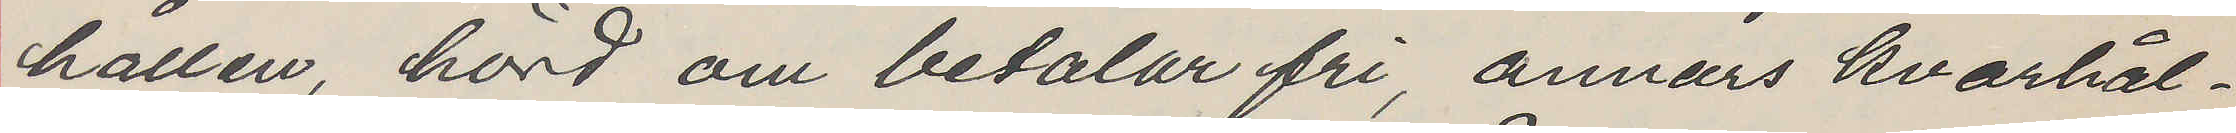hållen, hörd om betalar fri, annars kvarhål¬
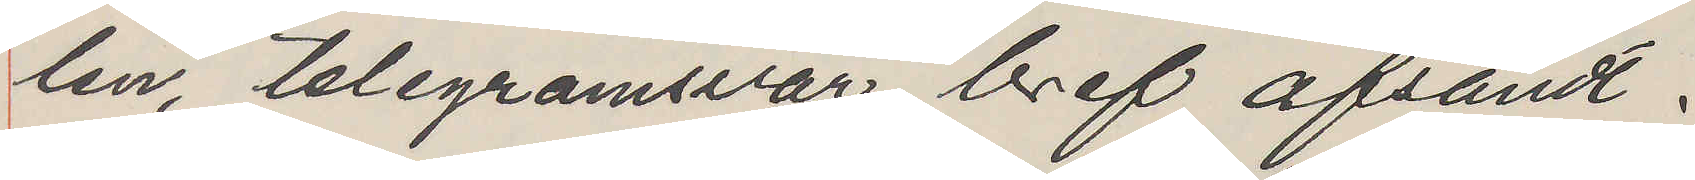len, telegramsvar, bref afsändt.
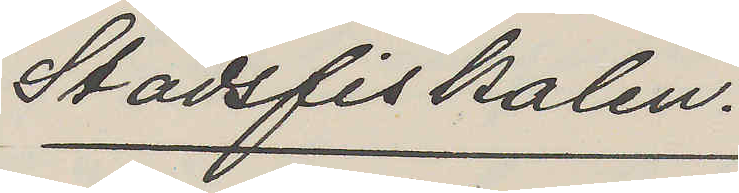Stadsfiskalen.
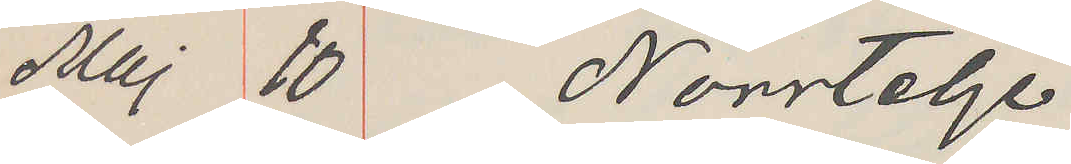Maj 10 Norrtelje
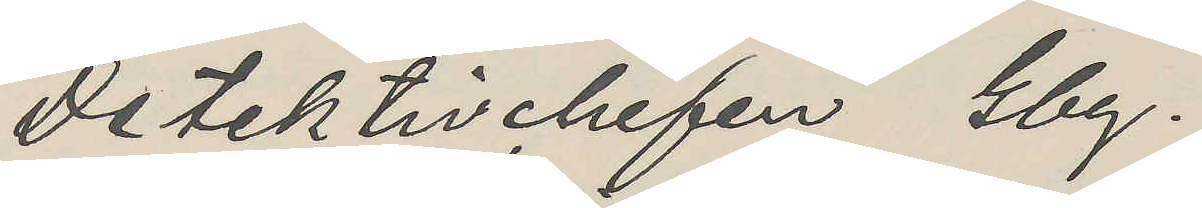Detektivchefen Gbg.
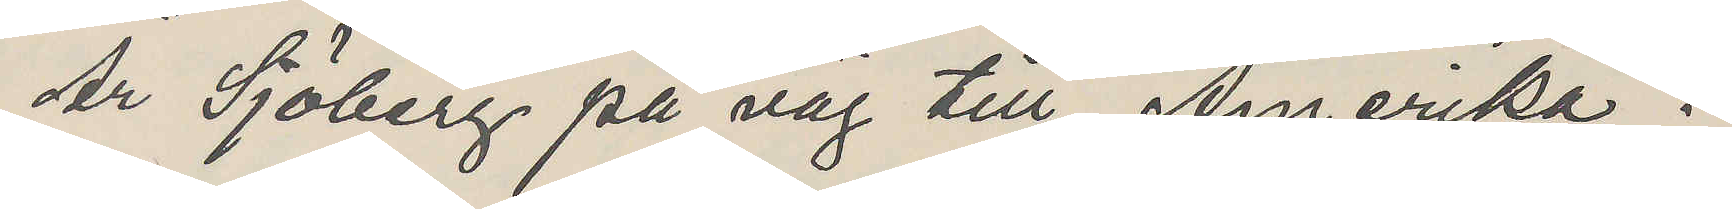Är Sjöberg på väg till Amerika?
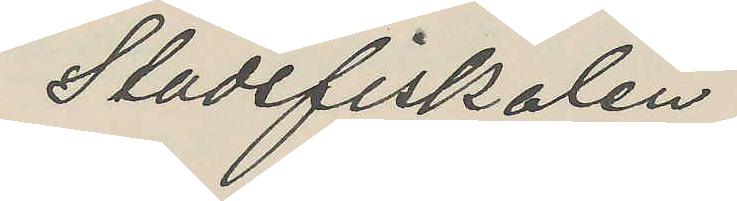Stadsfiskalen
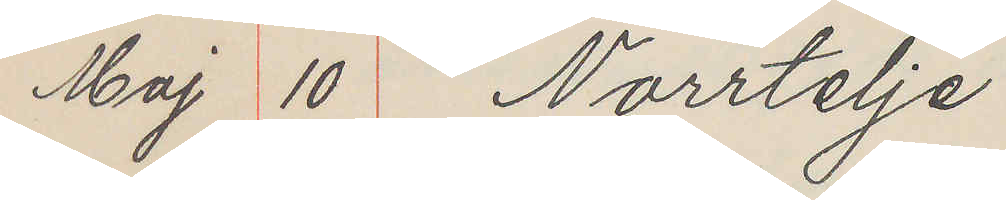Maj 10 Norrtelje
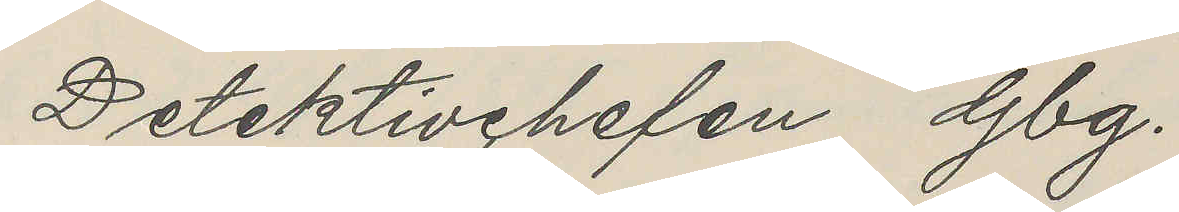Detektivchefen Gbg.
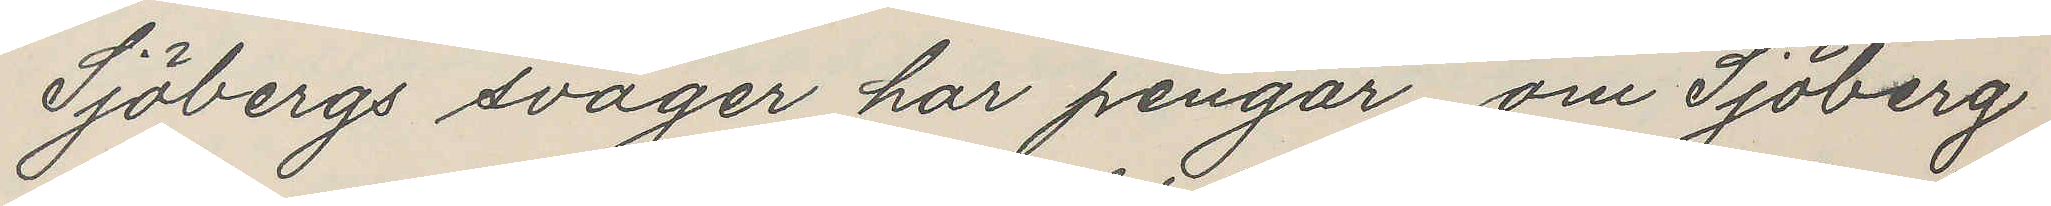Sjöbergs svåger har pengar, om Sjöberg
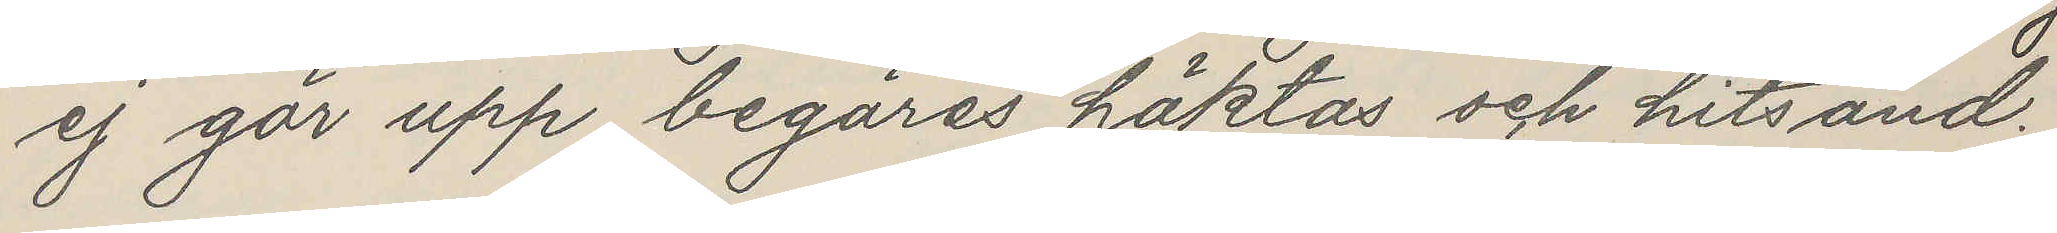ej gör upp begäres häktas och hitsänd.
